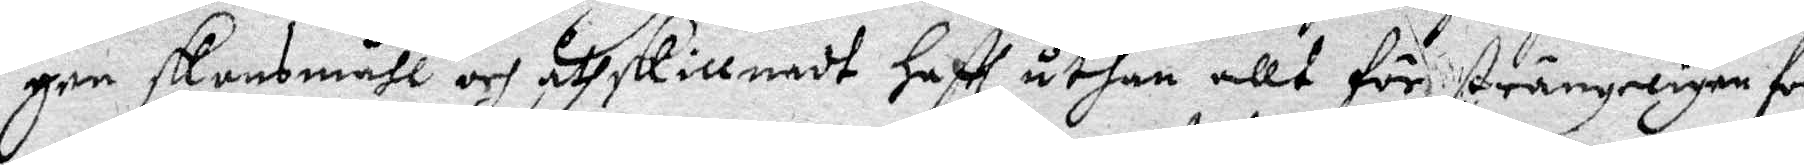gen skansmåhl och åthskillnadt haftt uthan allt för strängeligen for¬
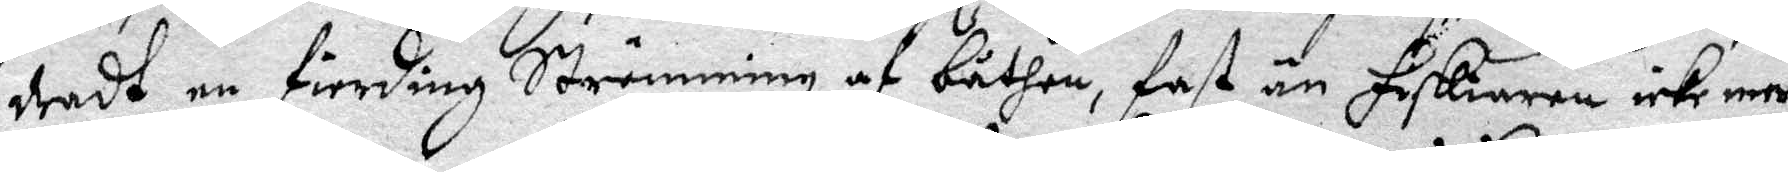dradt en fierding Strömming af båten, fast än Fiskiaren icke mera
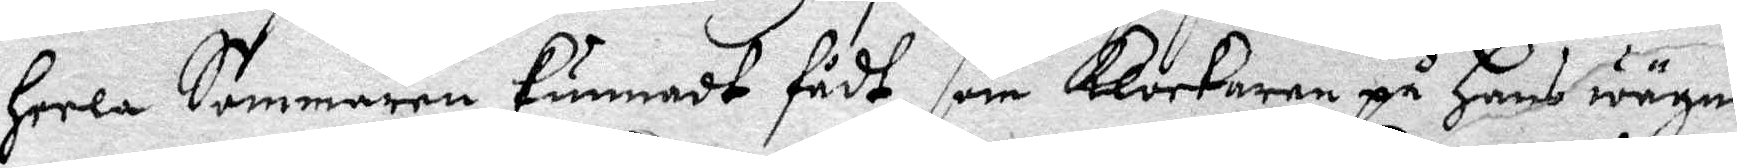heela Sommaren kunnadt fådt, som klockaren på hans wägnar
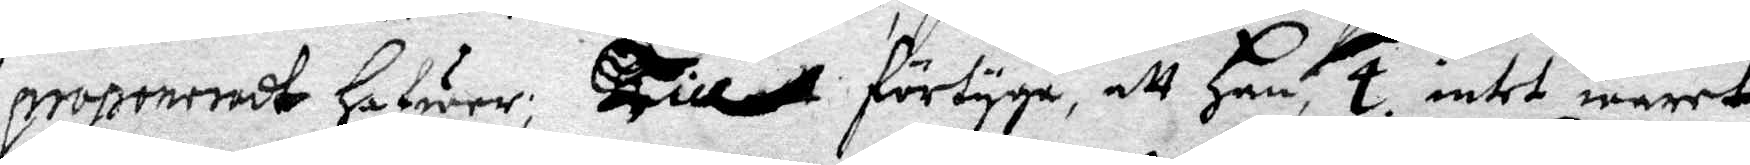proponeradt hafwer; Till förtyga att  han, 4. intet waret
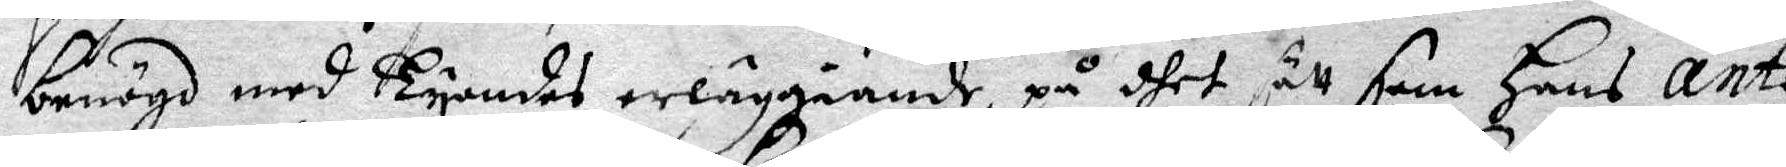benögd med Tyondes erläggiande, på dhet sätt som hans ante¬
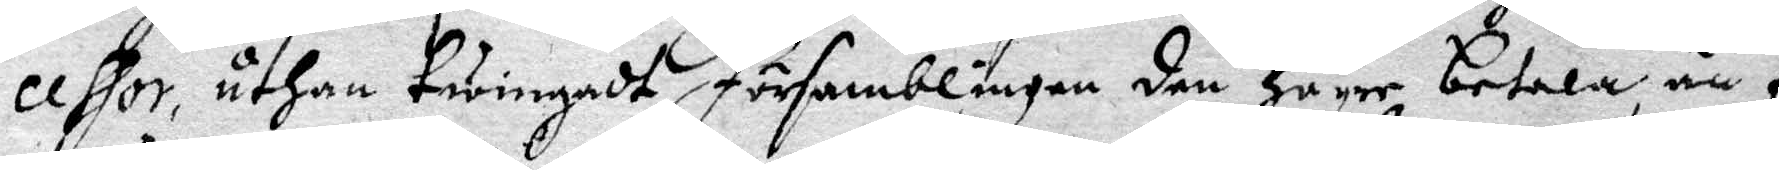cessor, uthan twingadt församblingen den högre betala, än fle¬
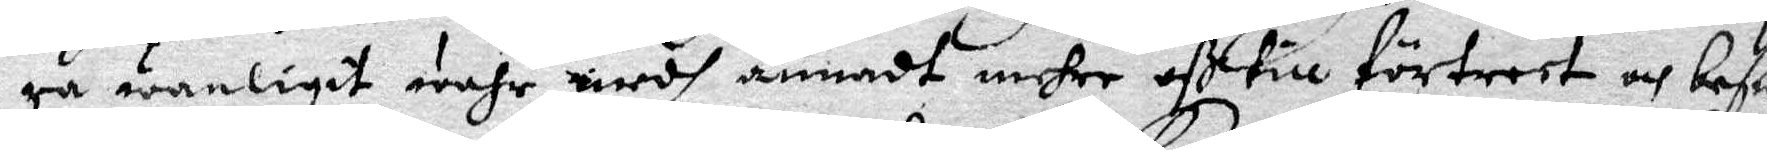ra wanligit wahr, medh annadt mehre oß till förtreet och besw
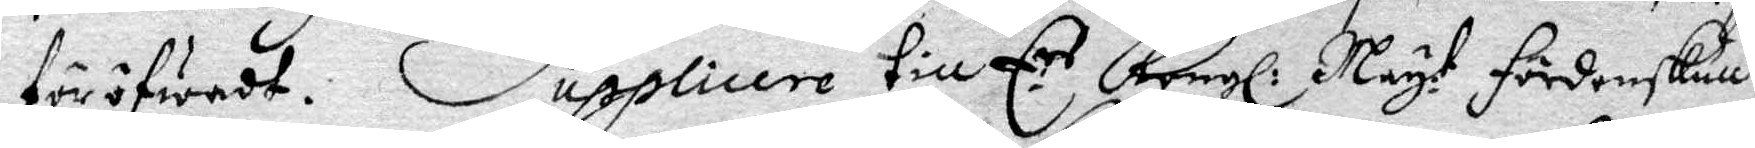föröfwat. Supplicere till E.rs Kongl: May:t fördenskull
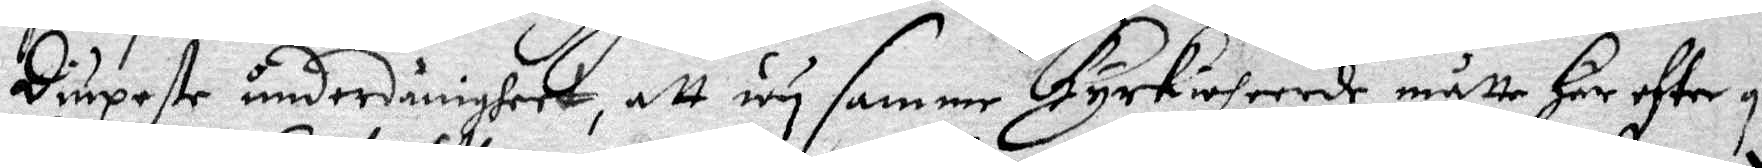Diupeste underdånigheet, att wy samme kyrkioheerde måtte här efter ge
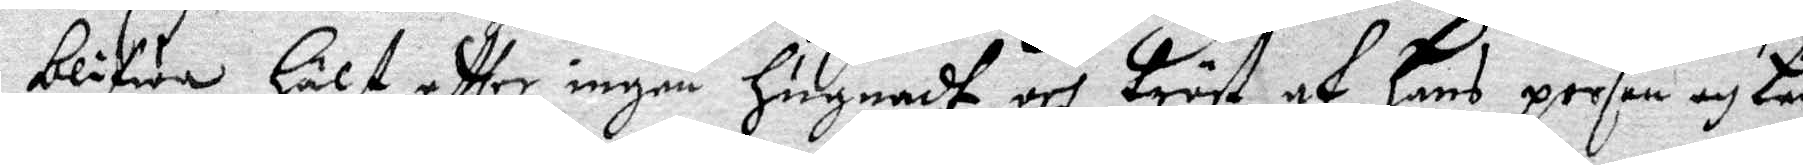blifwa, hälst eftter ingen hugnadt och tröst af hans person och be
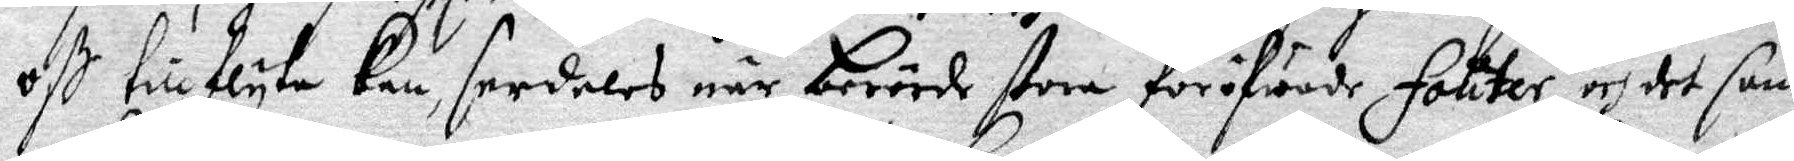oß till flyta kan, serdeles när berörde stora föröfwande Fouter, och det som
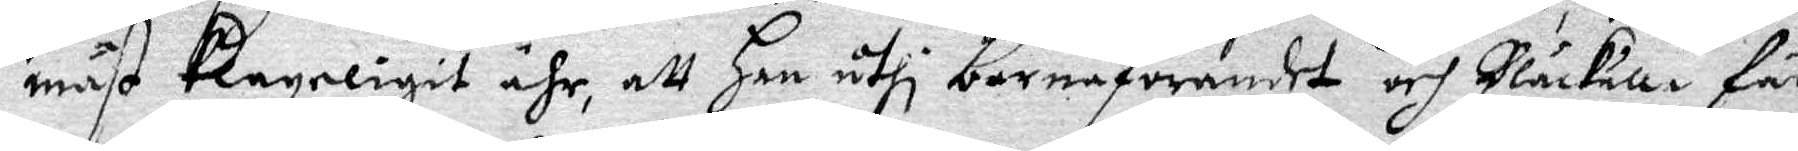mäst klageligit ähr, att han uthi barnaförandet och Blåkulla fär¬
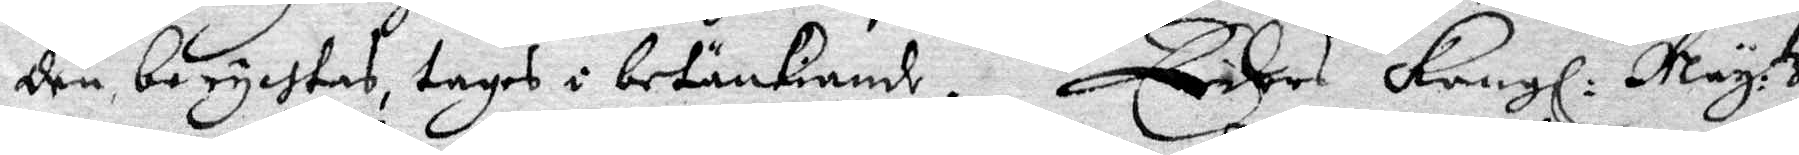den berychtas, tages i betänkiande. Eders Kongl: May:tz
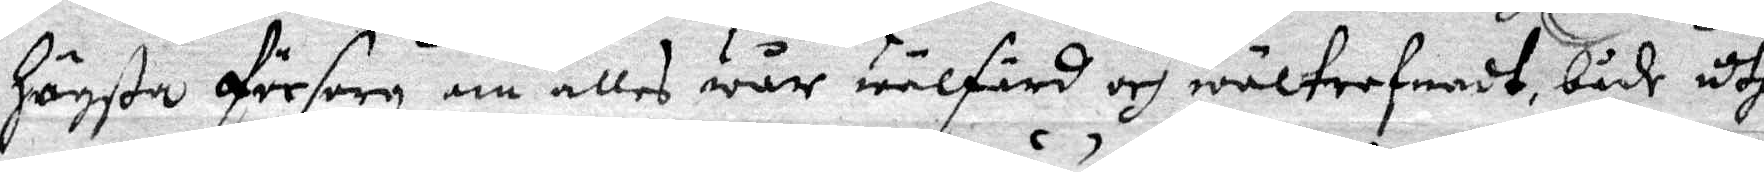högsta försorg om allas wår wälfärd och wältrefnadt, både uthi
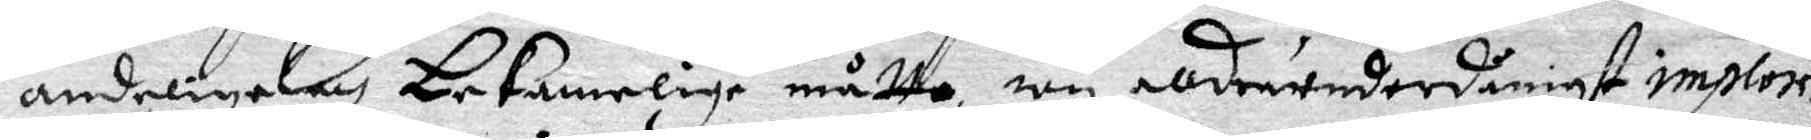andeliga och bekanelige måtto,  wy allderunderdånigst implo
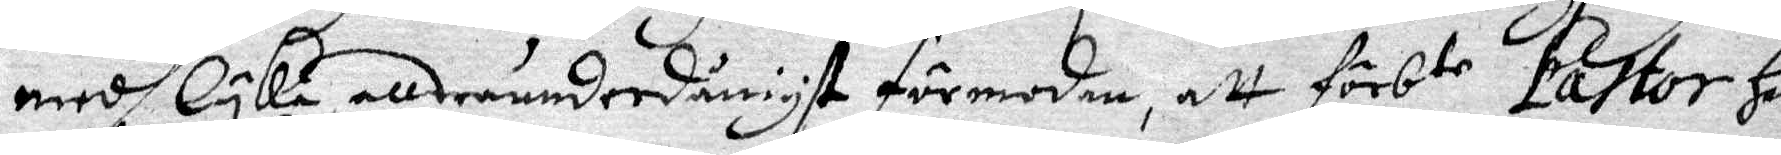medh lyka allerunderdånigst förmodan, att förbte Pastor här
